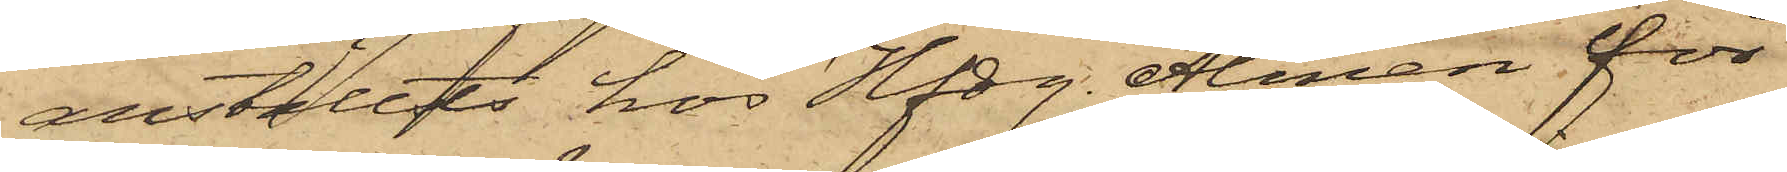anställts hos Hfdg. Almén för
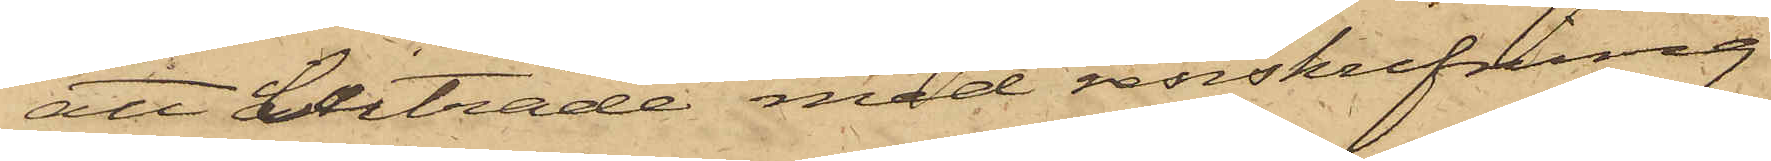att biträda med renskrifning
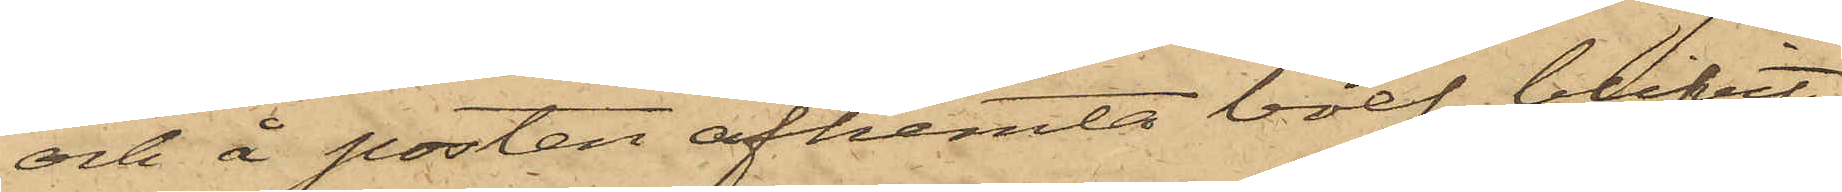och å posten afhemta bref, blifvit
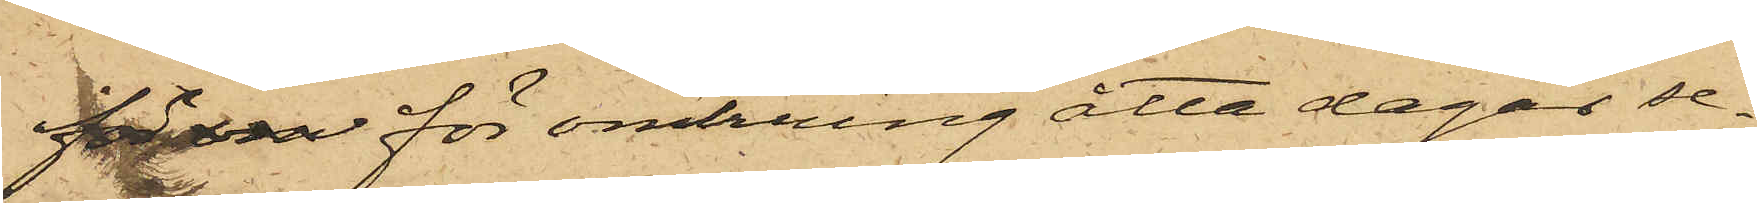 för vis omkring åtta dagar se¬
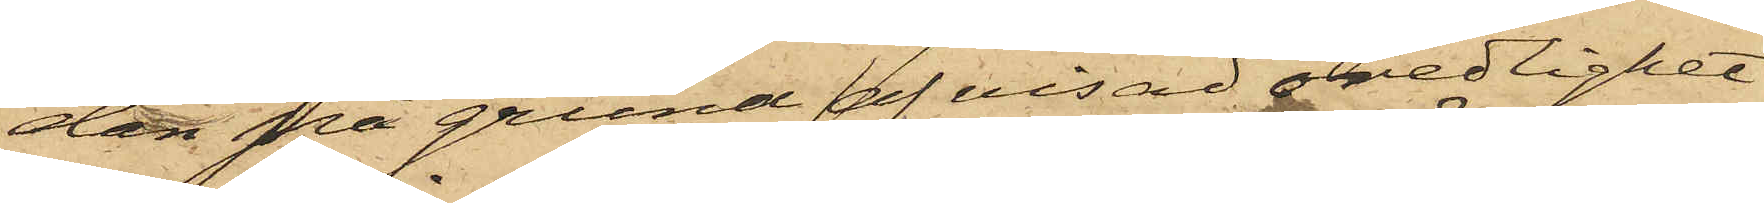dan på grund af visad oredlighet
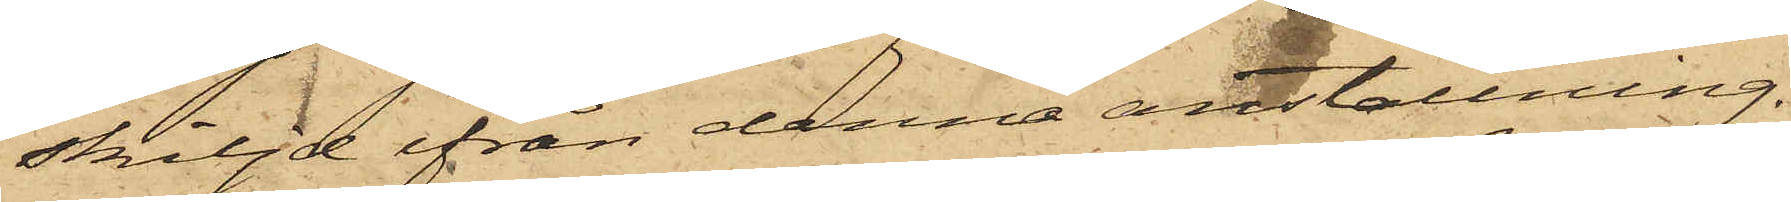skiljd ifrån denna anställning,
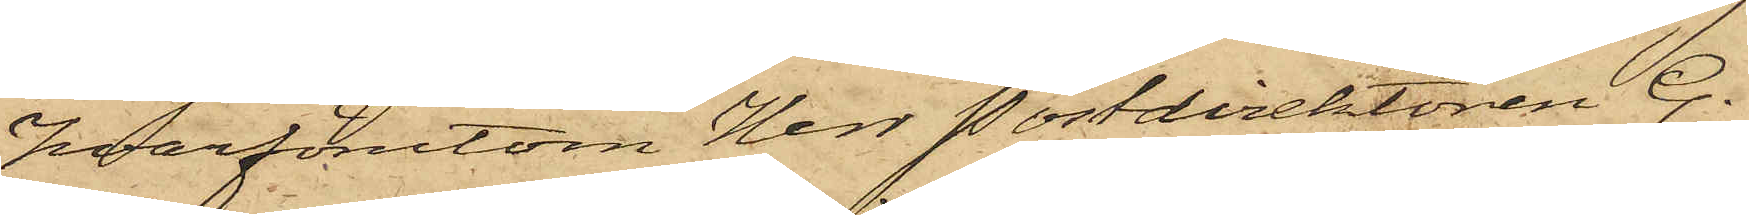hvarförutom Herr Postdirektören G.
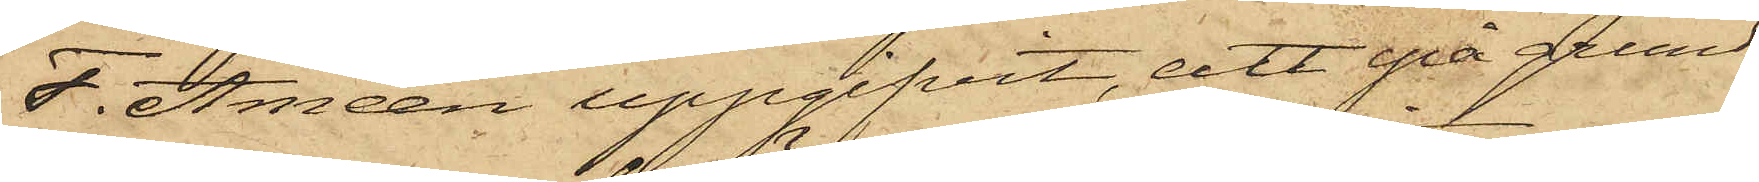F. Améen uppgifvit, att på grund
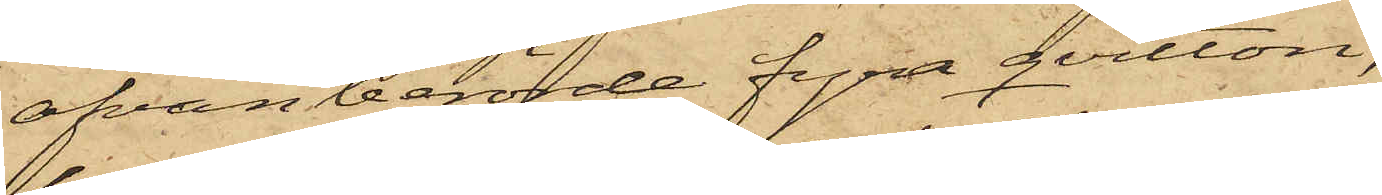ofvanberörde fyra qvitton,
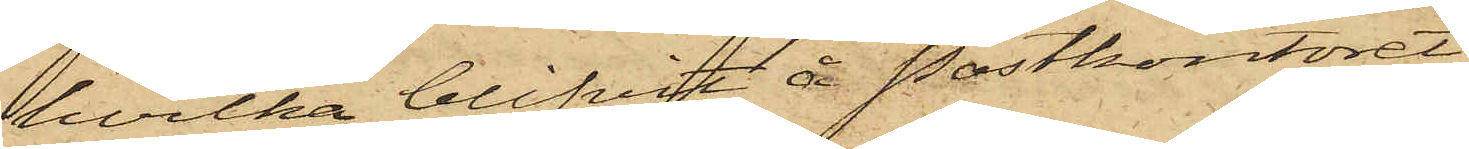hvilka blifvit å Postkontoret
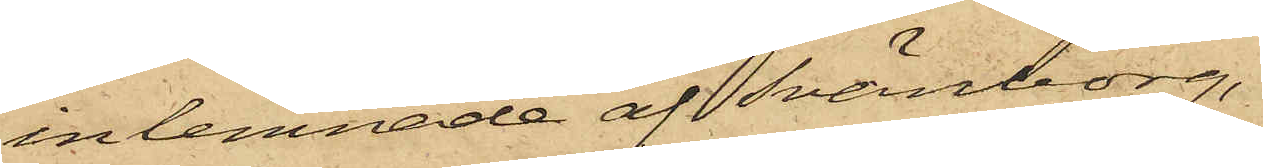inlemnade af Svänborg,
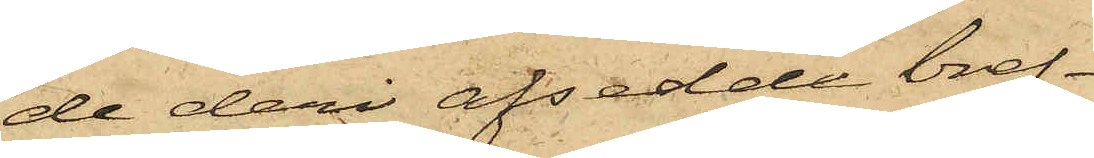de deri afsedde bref¬
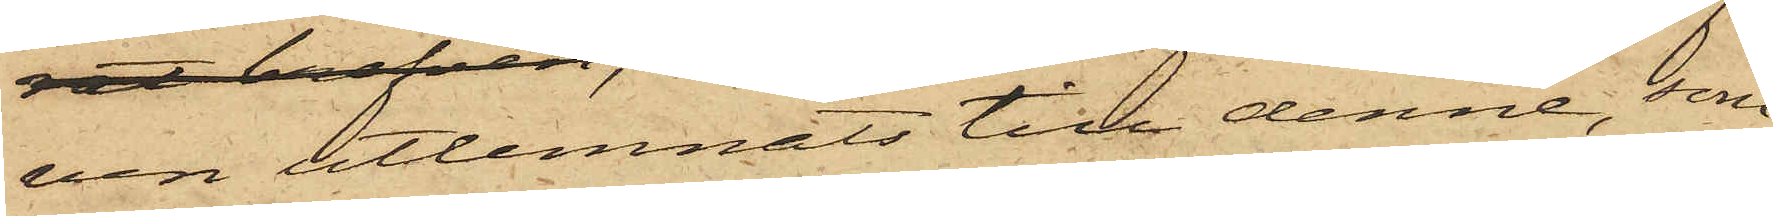ven tillemnats till denne, som
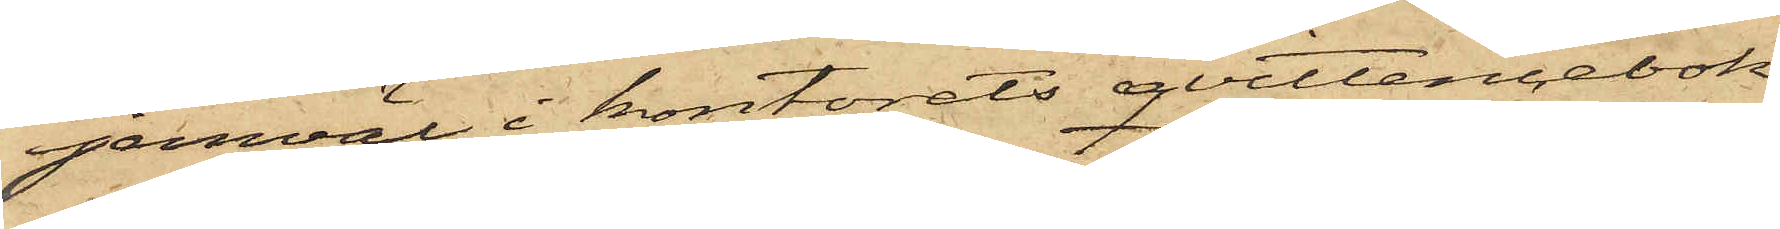jemväl i kontorets qvittencebok
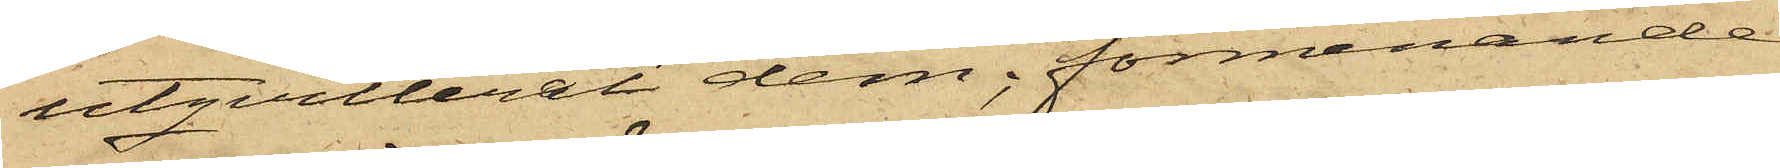utqvitterat dem; förmenande
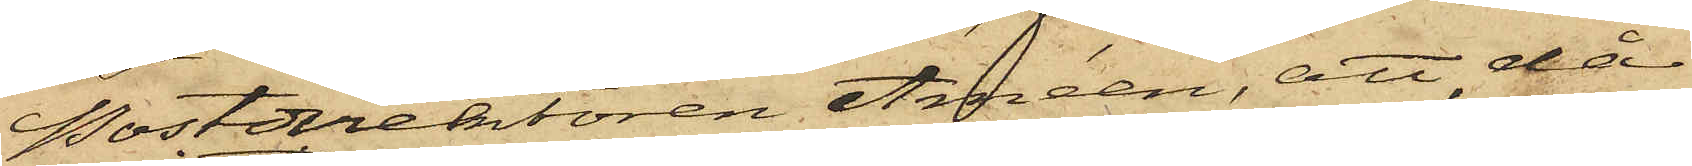Postdirektören Améen, att, då
